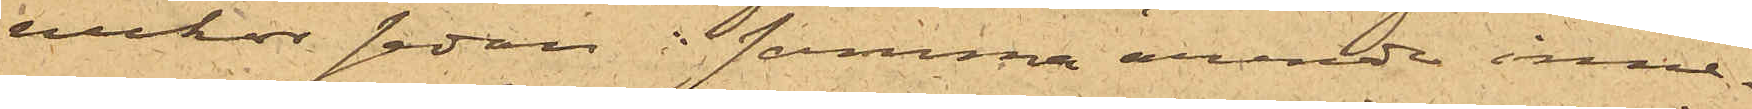veckor sedan i samma ärende inne¬
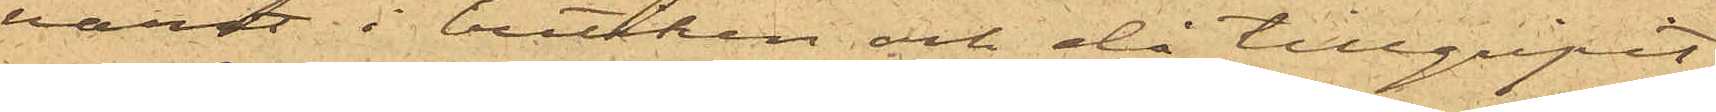varit i butiken och då tillgripit
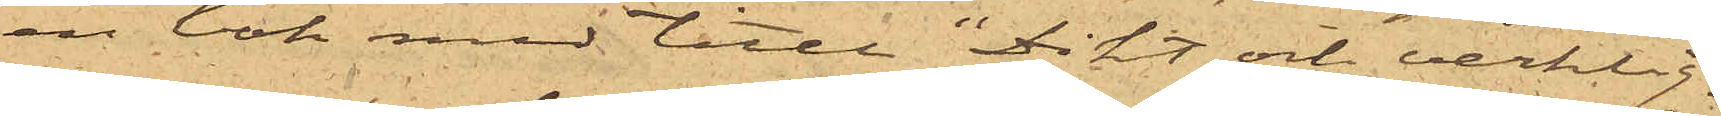en bok med titeln "Dikt och verklig¬
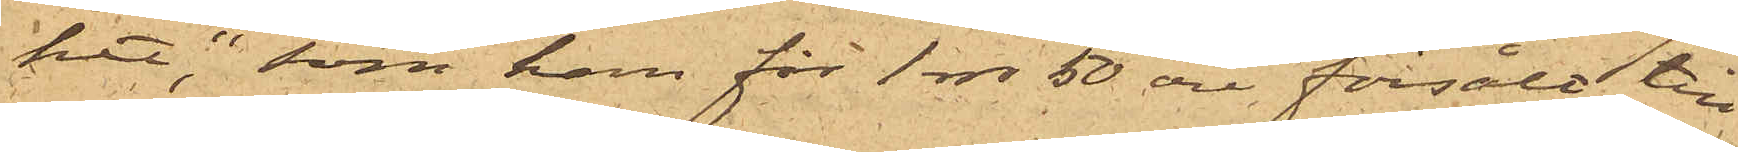het" som han för 1 rdr 50 öre, försålt till
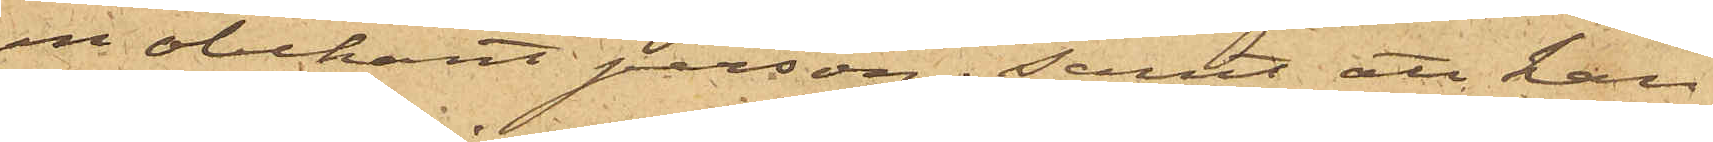en obekant person; samt att han
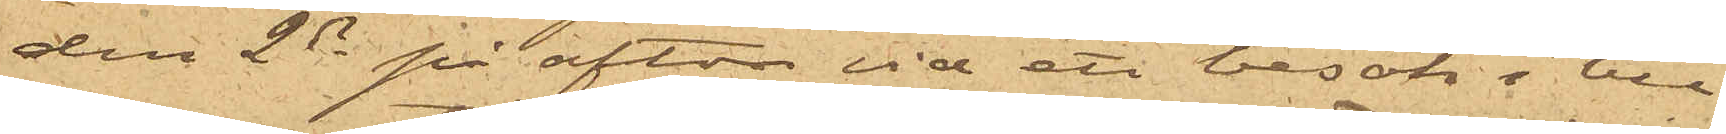den 2ds på afton vid ett besök i bu¬
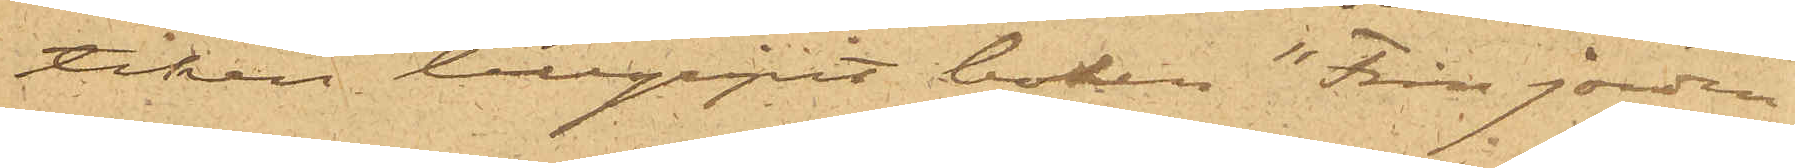tiken tillgripit boken "Från jorden
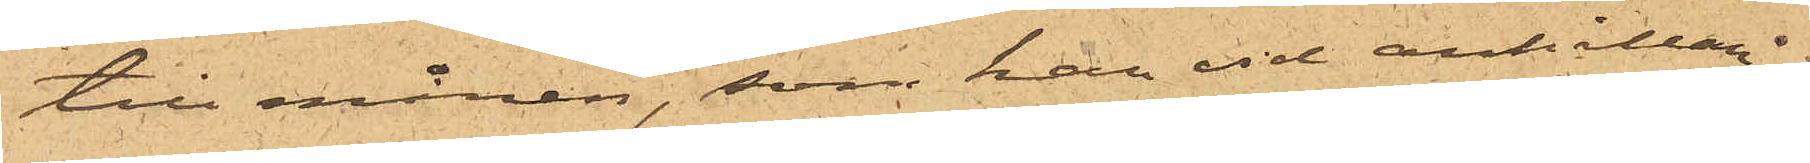till månen", som han vid anhållan¬
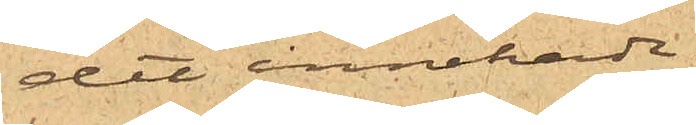det innehade.
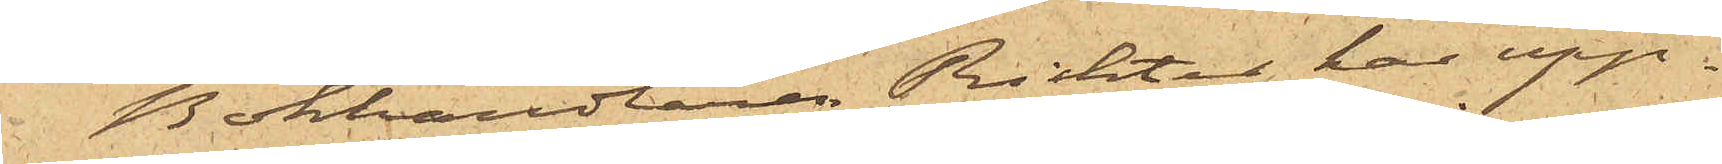Bokhandlaren Richter har upp¬
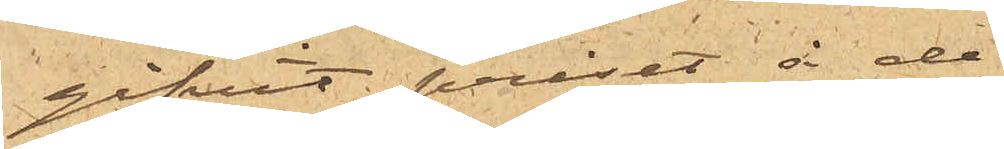gifvit priset å de
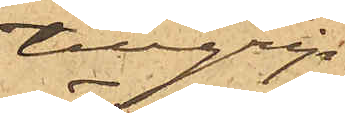tillgrip¬
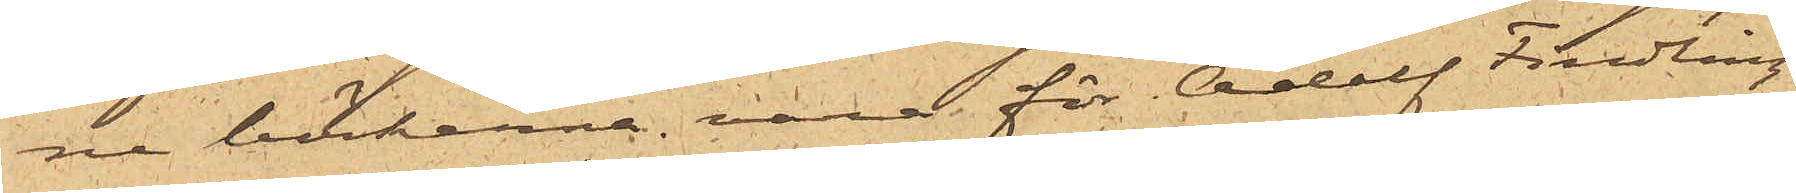ne böckerna vara för "Adolf Findling"
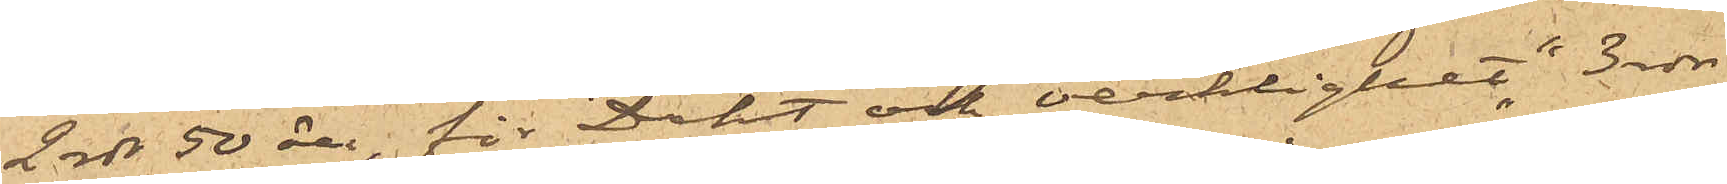2 rdr 50 öre, för "Dikt och verklighet" 3 rdr
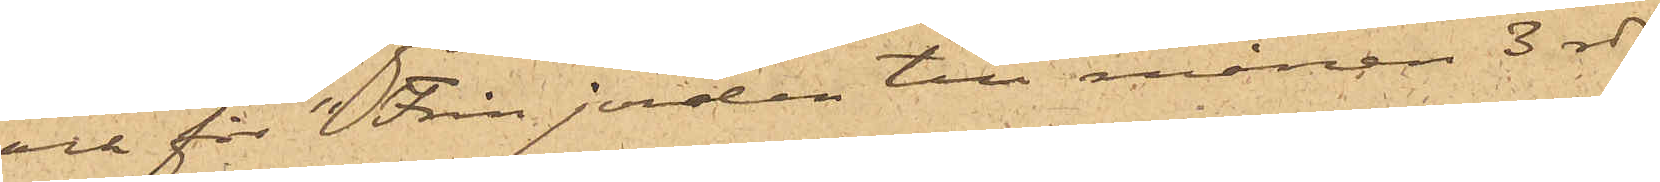och för "Från jorden till månen" 3 rdr
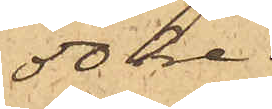50 öre.
